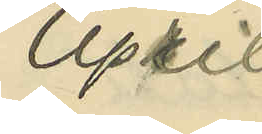April
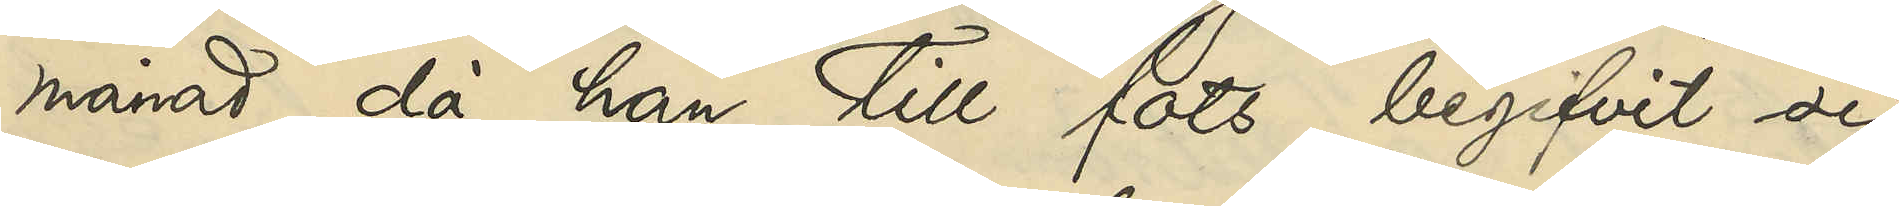månad, då han till fots begifvit sig
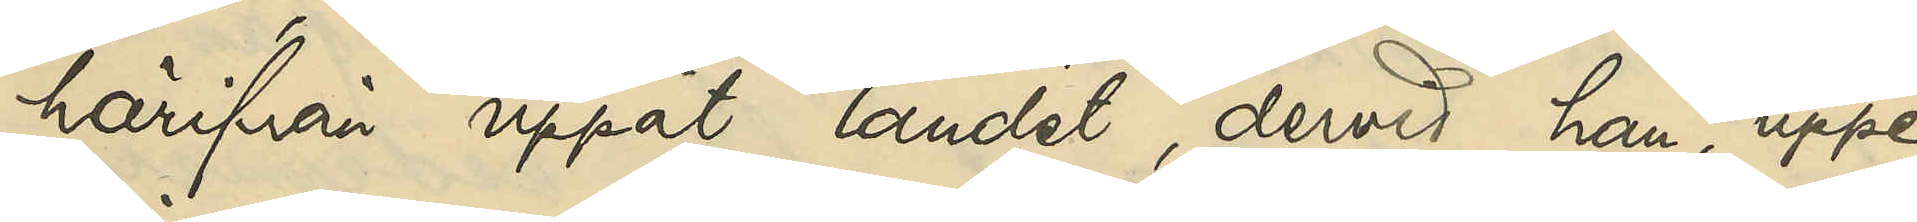härifrån uppåt landet, dervid han, uppe¬
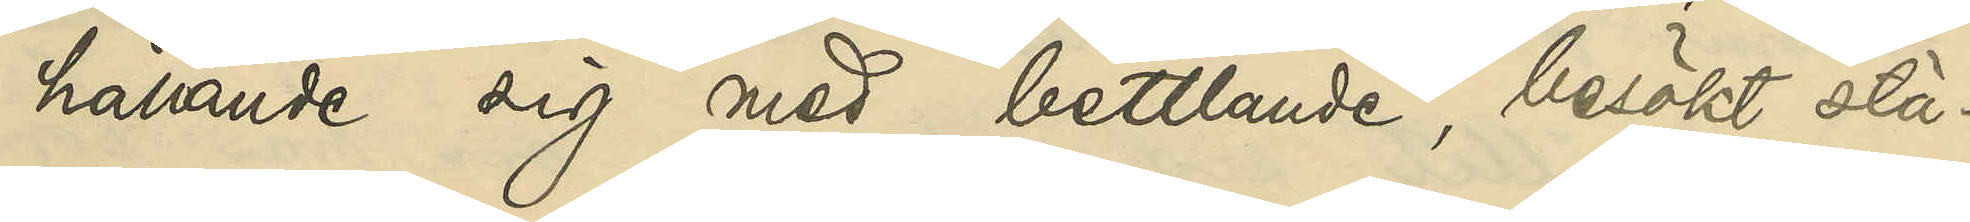hållande sig med bettlande, besökt stä¬
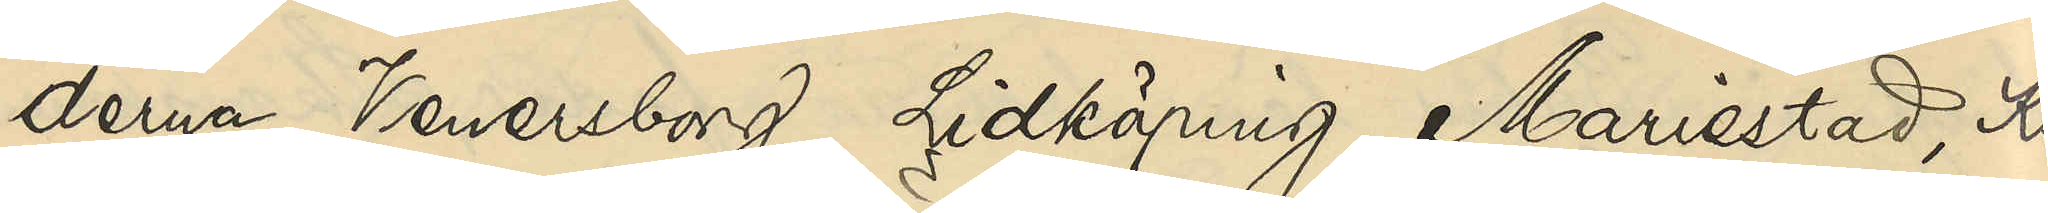derna Venersborg, Lidköping, Mariestad, Kris¬
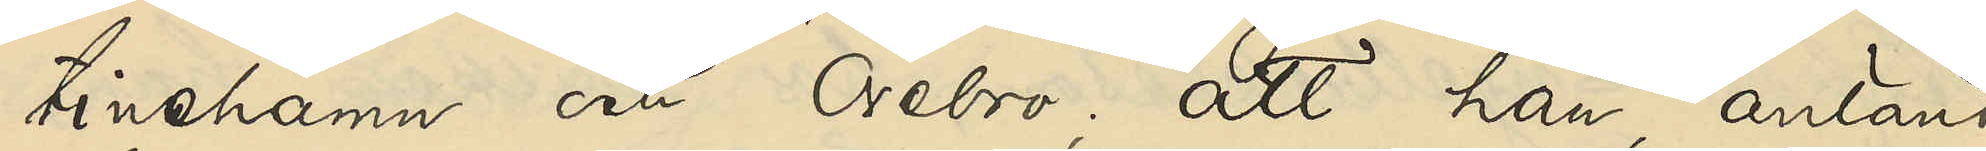tinehamn och Örebro; att han, anlänt
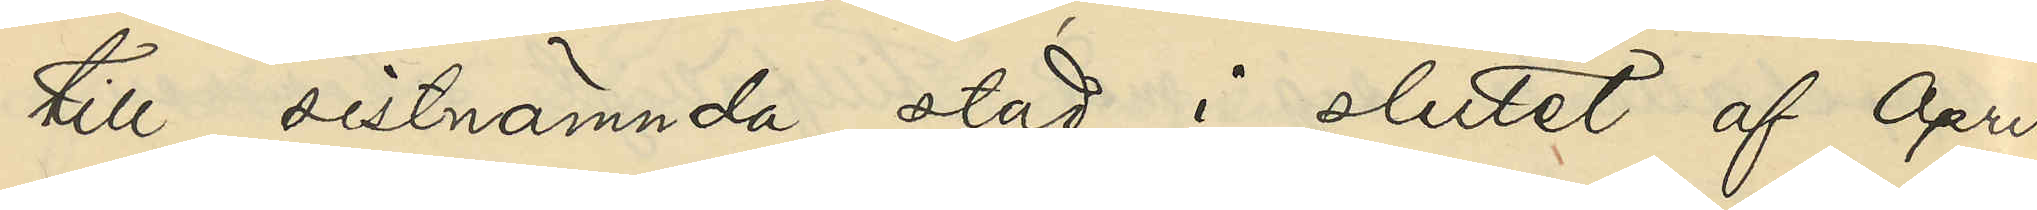till sistnämnda stad i slutet af April
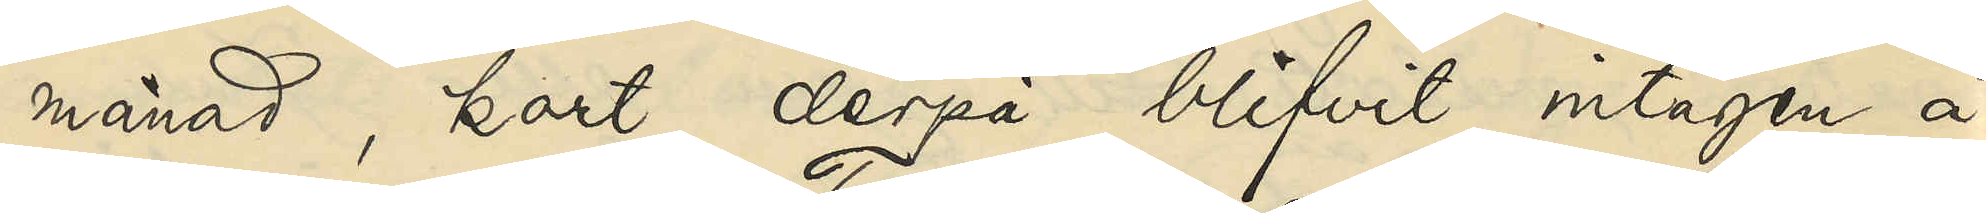månad, kort derpå blifvit intagen å
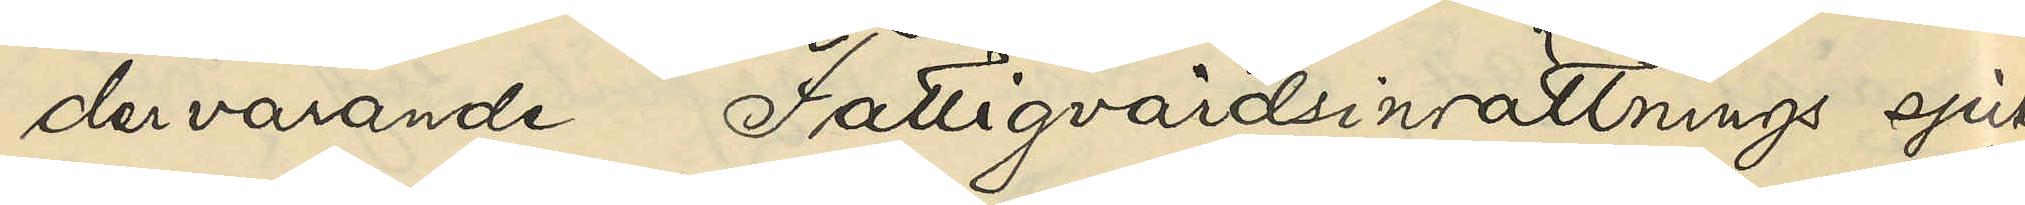dervarande Fattigvårdsinrättnings sjuk¬
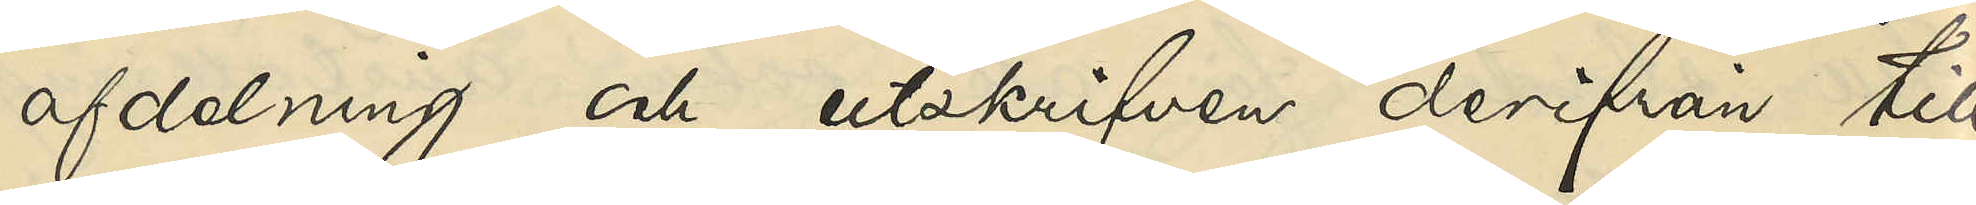afdelning och utskrifven derifrån till
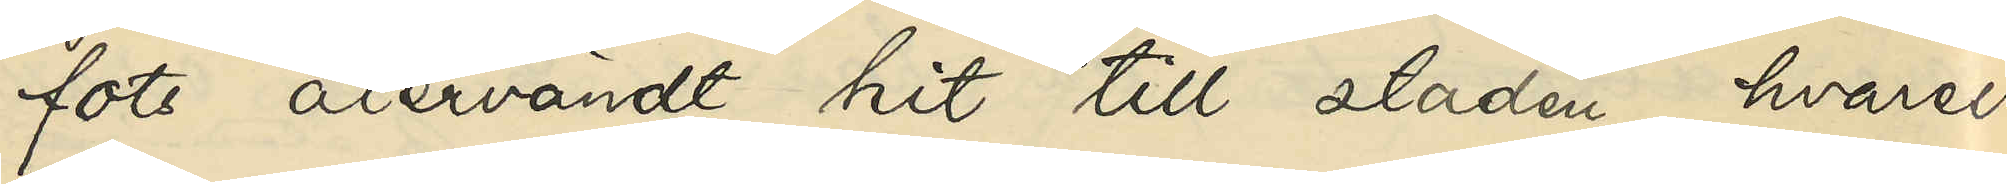fots återvändt hit till staden, hvarest
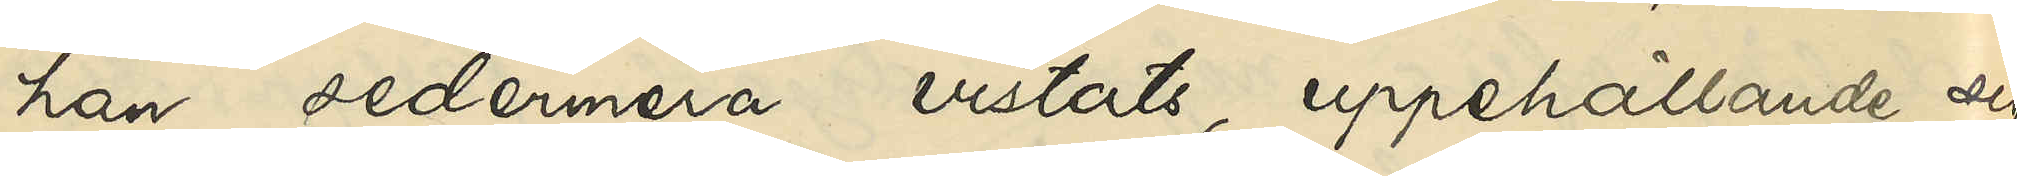han sedermera vistats, uppehållande sig
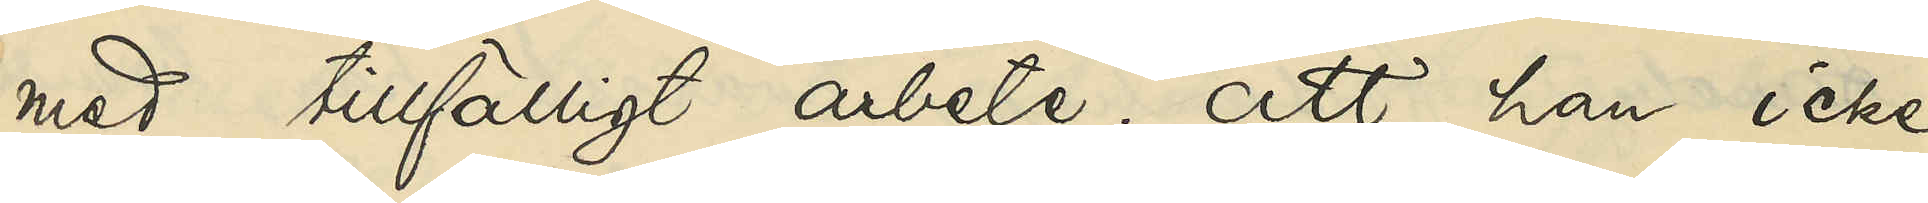med tillfälligt arbete; att han icke
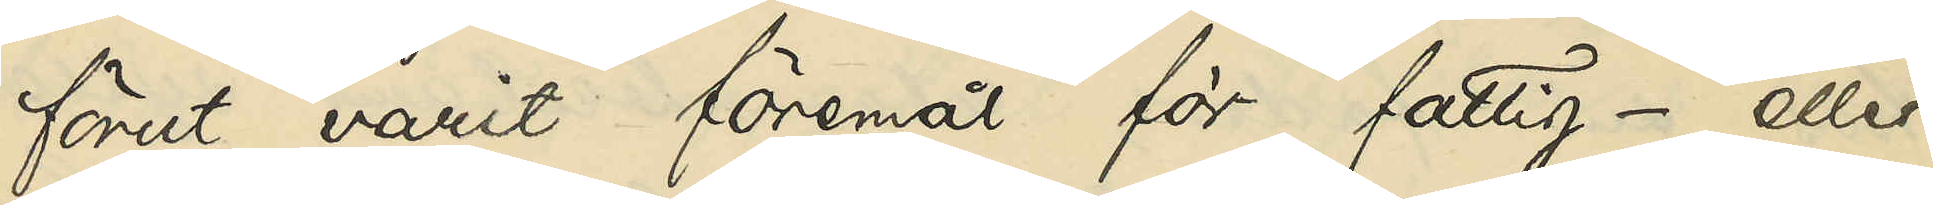förut varit föremål för fattig- eller
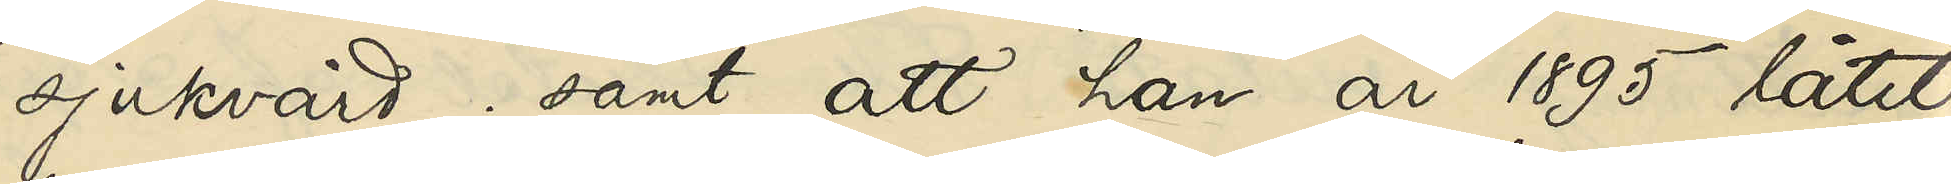sjukvård; samt att han år 1895 låtit
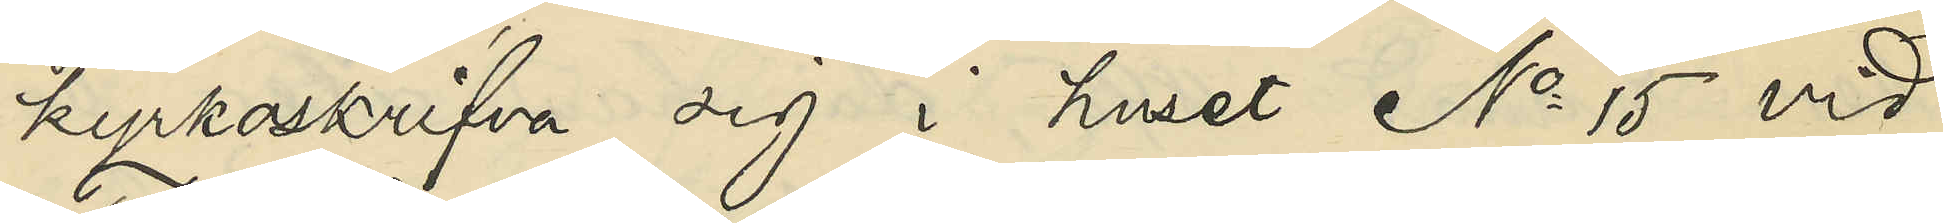kyrkoskrifva sig i huset No 15 vid
